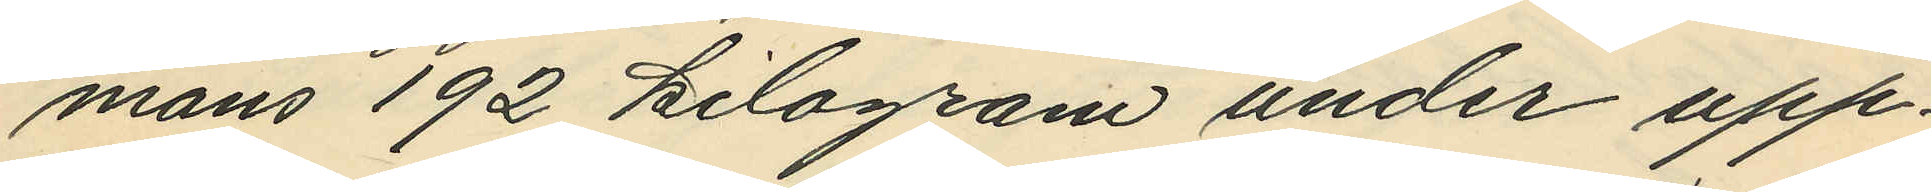mans 192 kilogram under upp¬
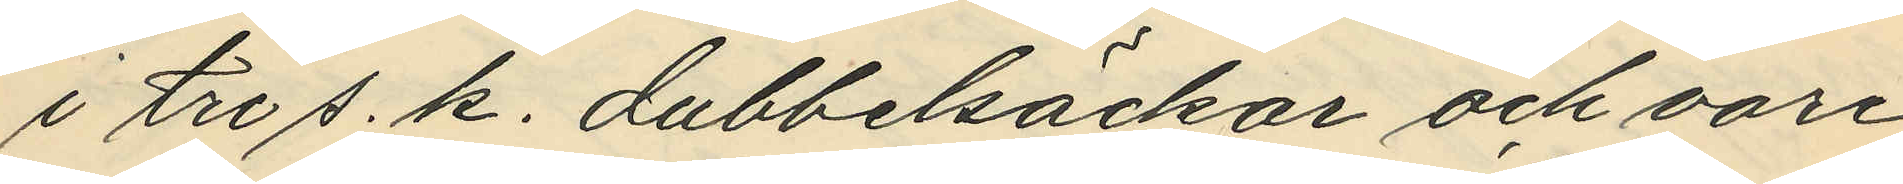i tre s. k. dubbelsäckar och vore
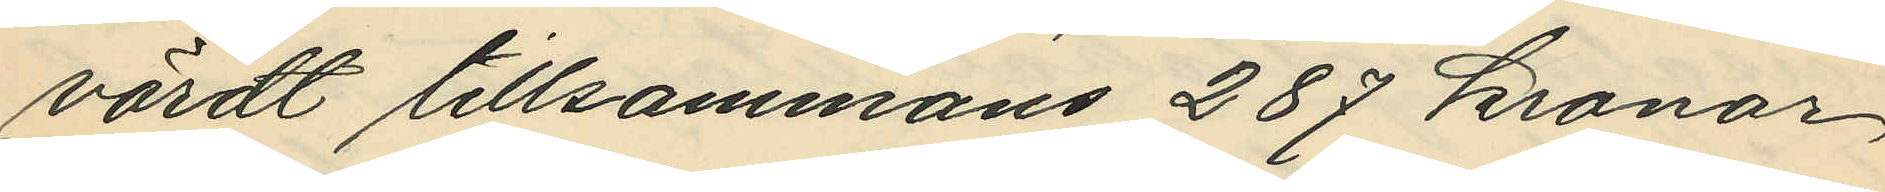värdt tillsammans 287 kronor,
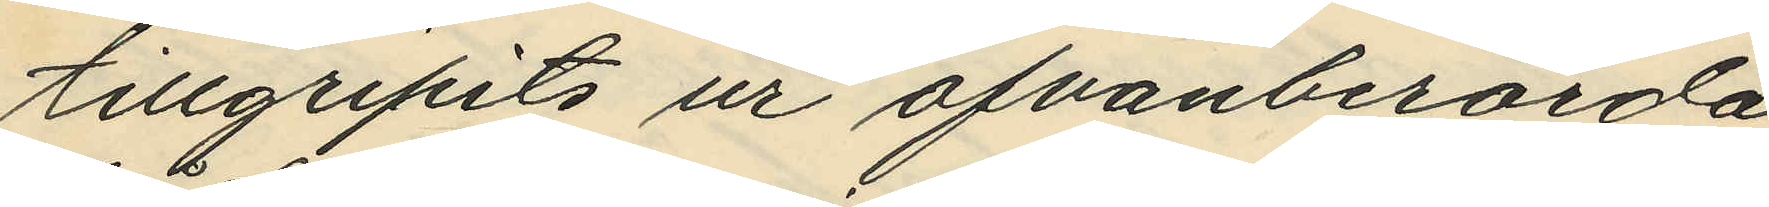tillgripits ur ofvanberörda
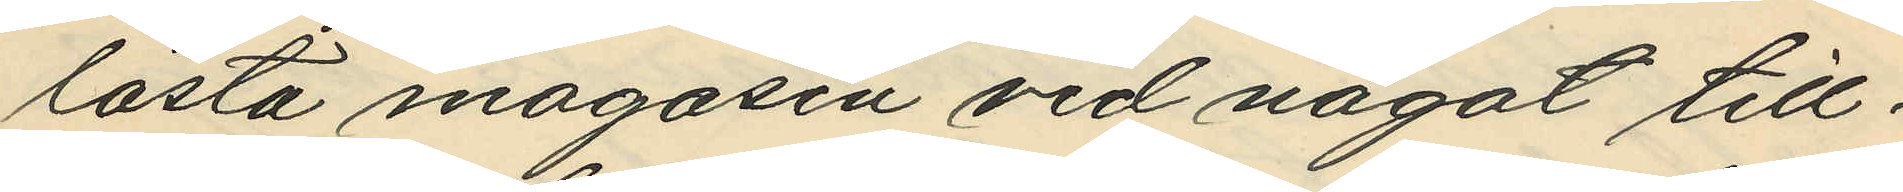låsta magasin vid något till¬
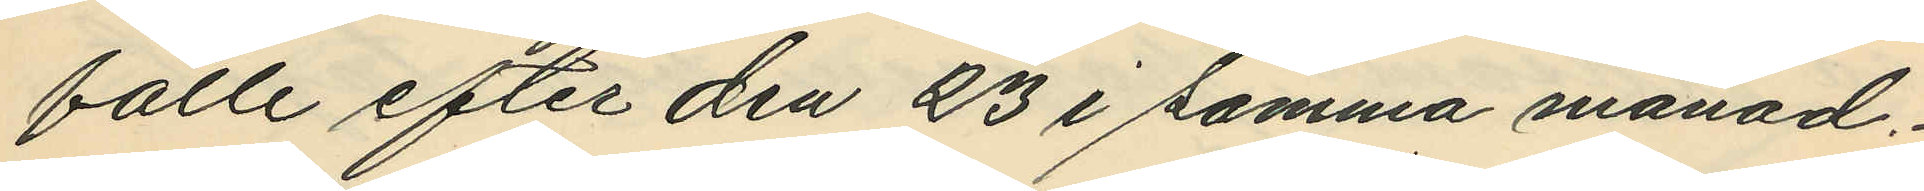fälle efter den 23 i samma månad.
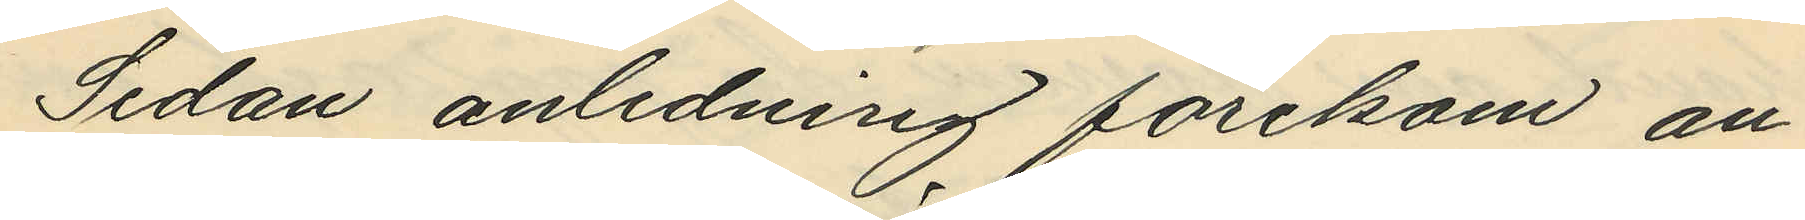Sedan anledning förekom an¬
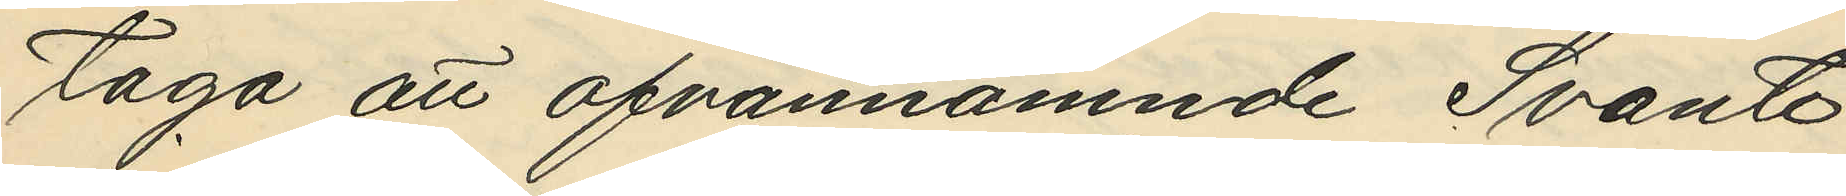taga att ofvannämnde Svante
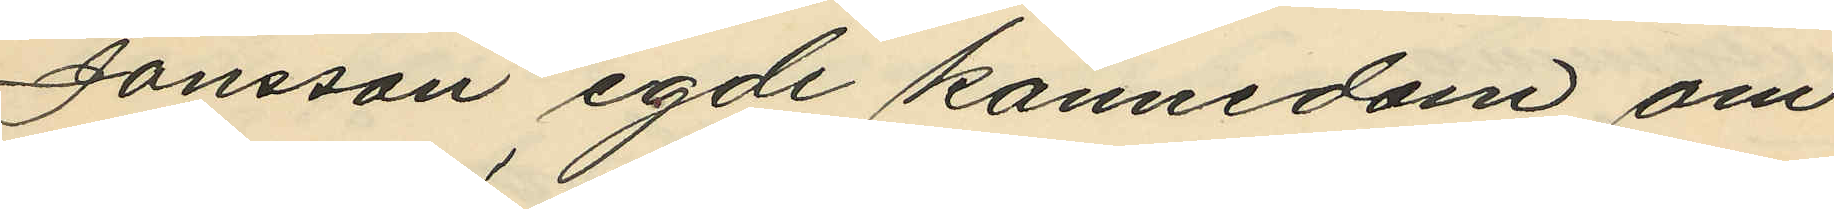Jonsson egde kännedom om
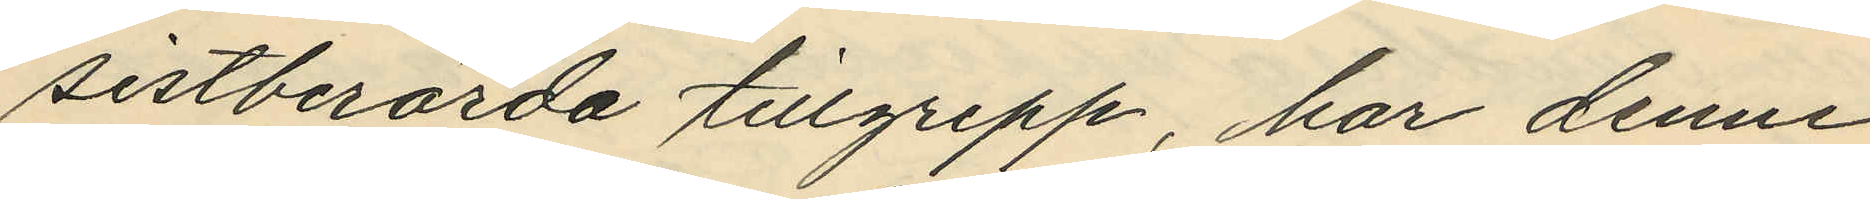sistberörda tillgrepp, har denne
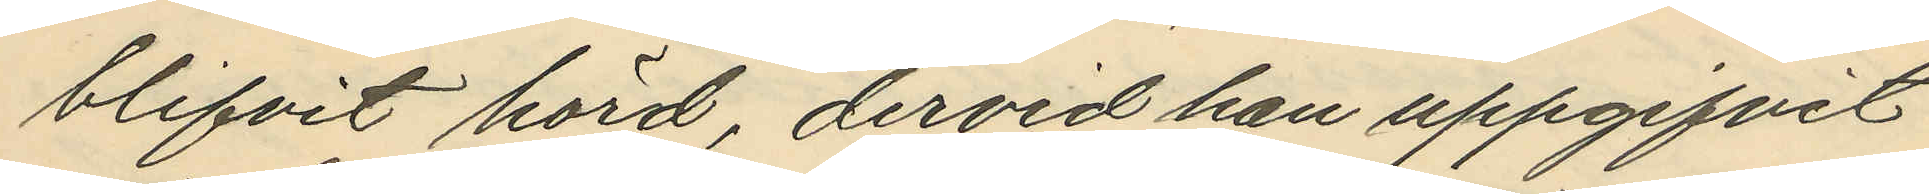blifvit hörd, dervid han uppgifvit
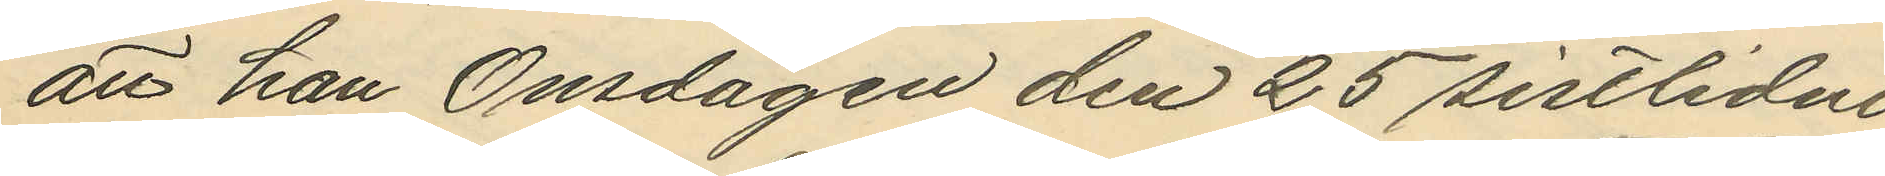att han Onsdagen den 25 sistlidne
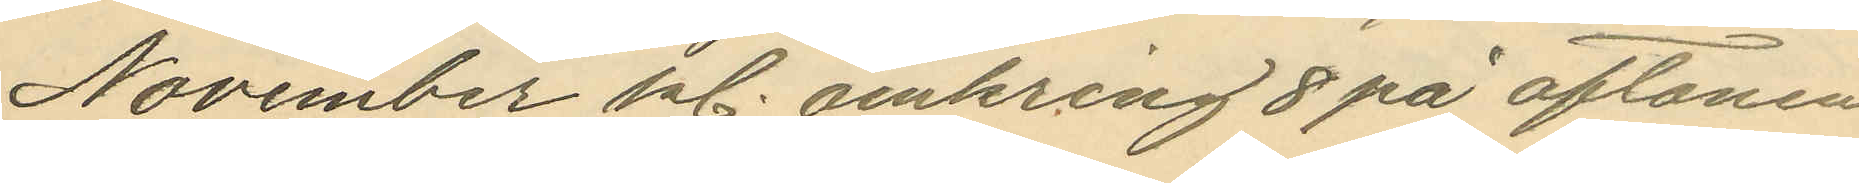November kl. omkring 8 på aftonen
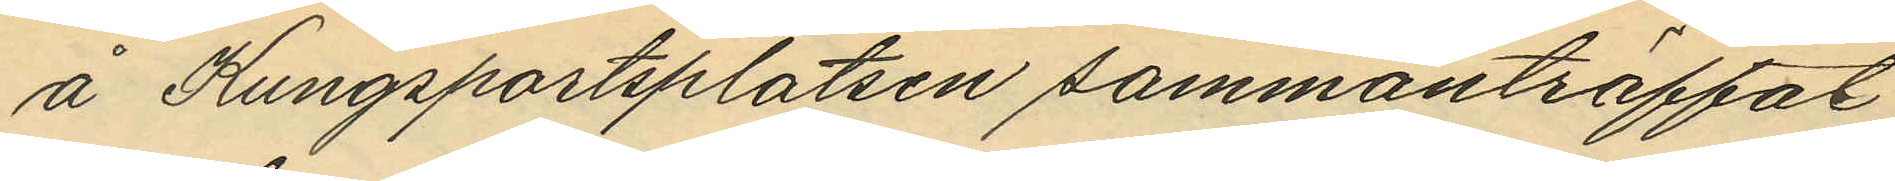å Kungsportsplatsen sammanträffat
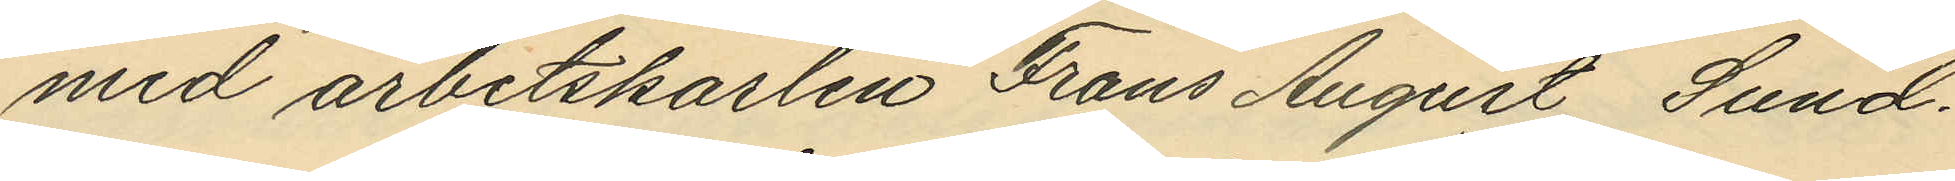med arbetskarlen Frans August Sund¬
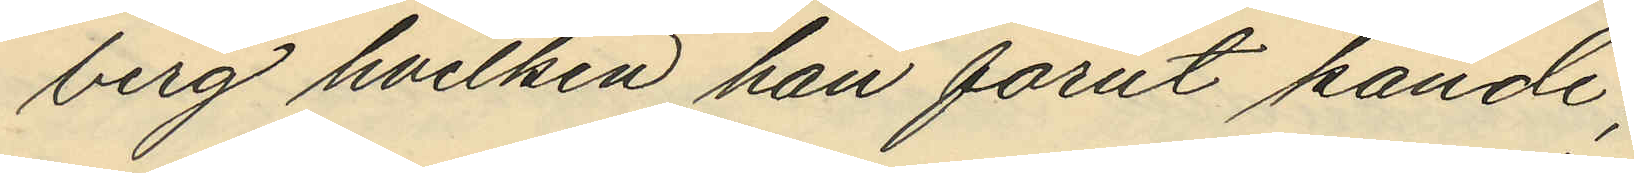berg hvilken han förut kände;
